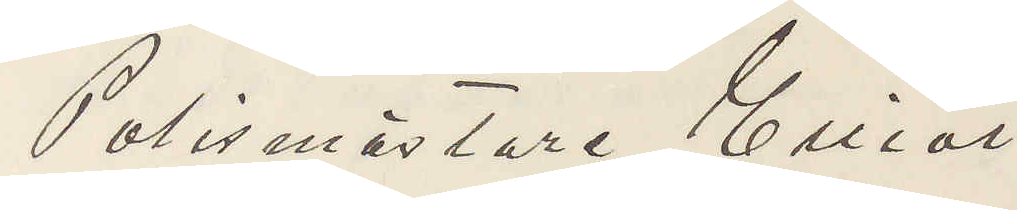Polismästare Elliot
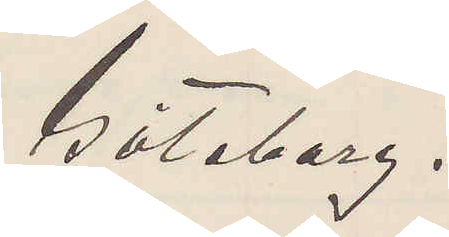Göteborg.
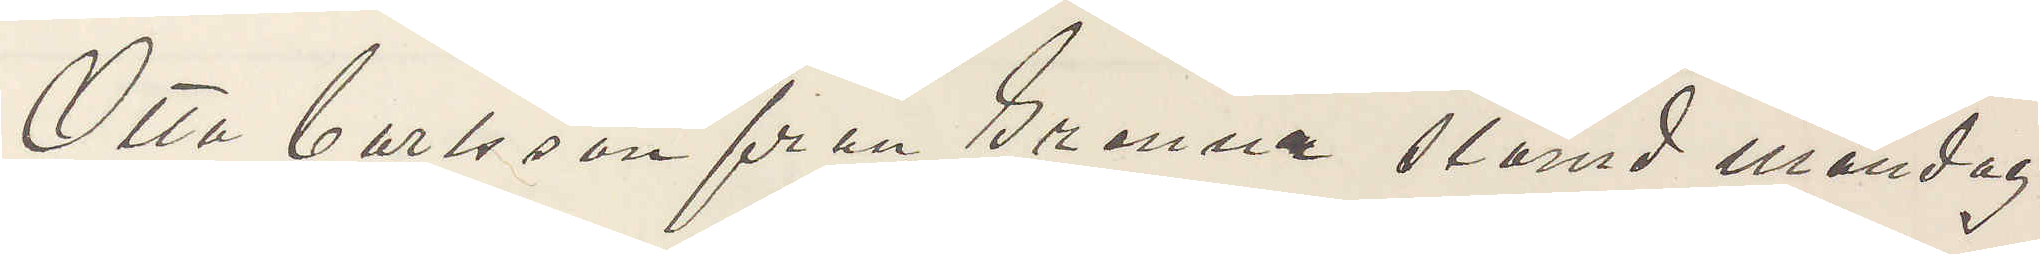Otto Carlsson från Grenna stämd måndag
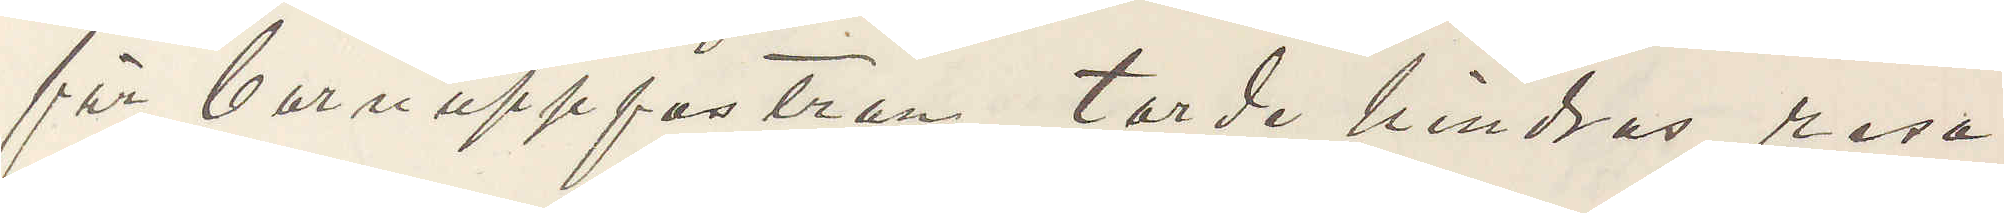för barnuppfostran, torde hindras resa
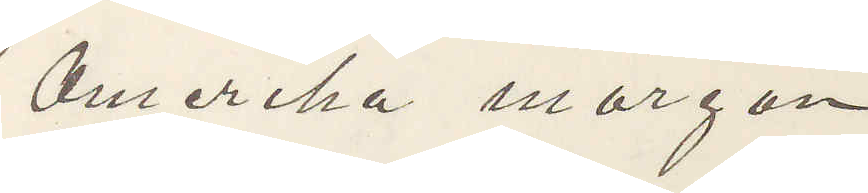Amerika morgon.
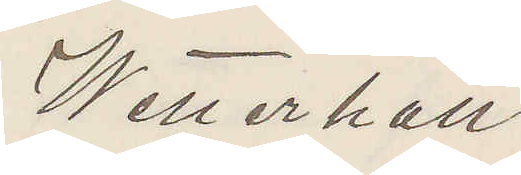Wetterhall
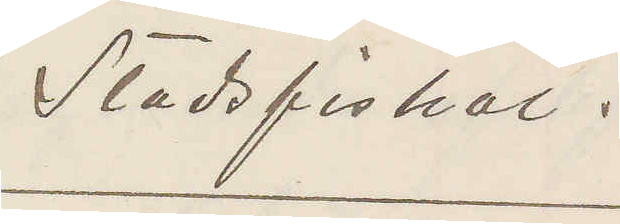Stadsfiskal.
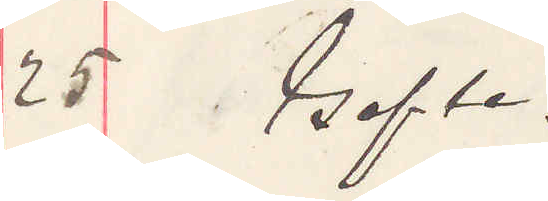25 Gefle.
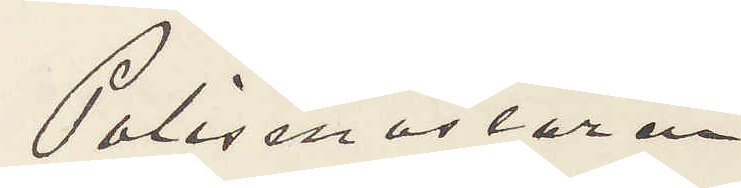Polismästaren
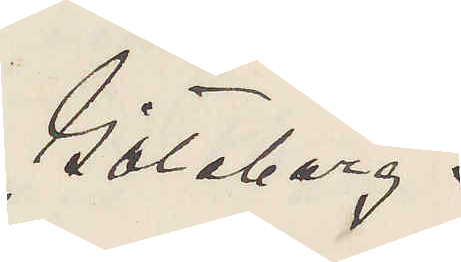Göteborg.
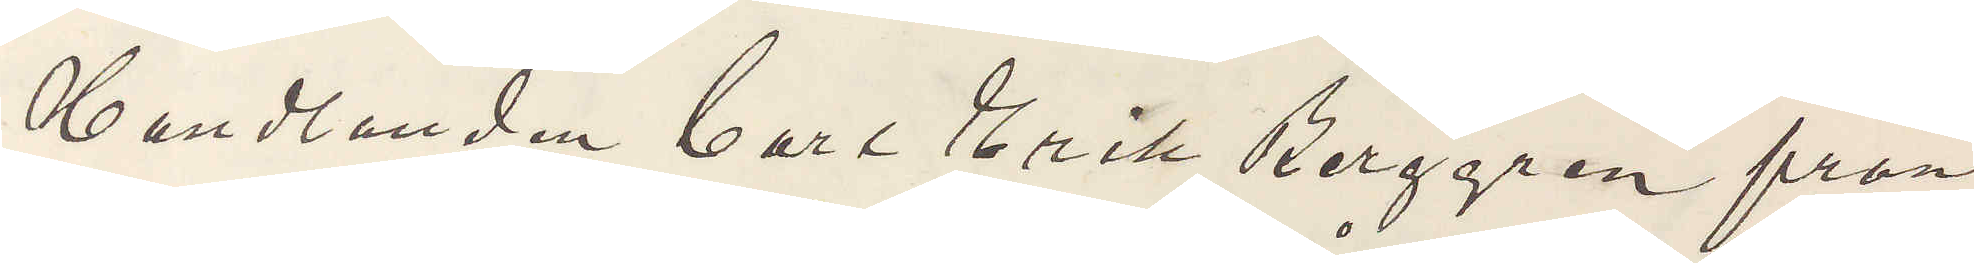Hndlanden Carl Erik Berggren från
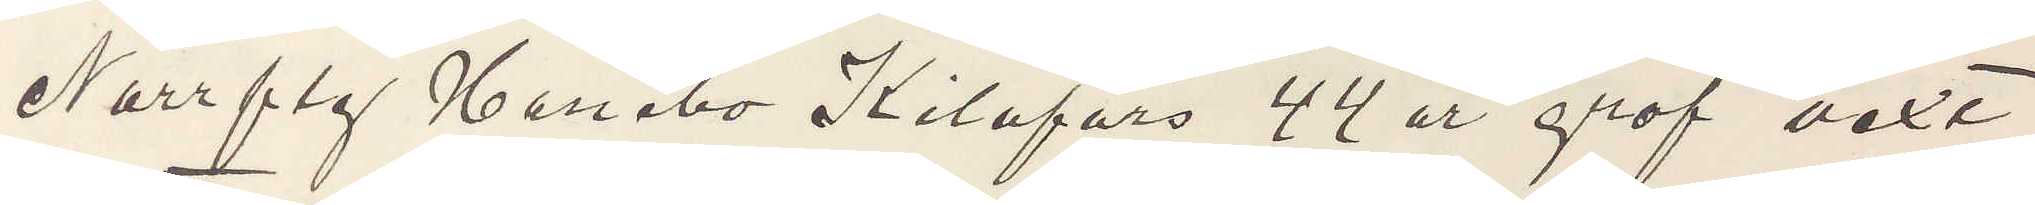Norrfly Hanebo Kilafors 44 år grof vext,
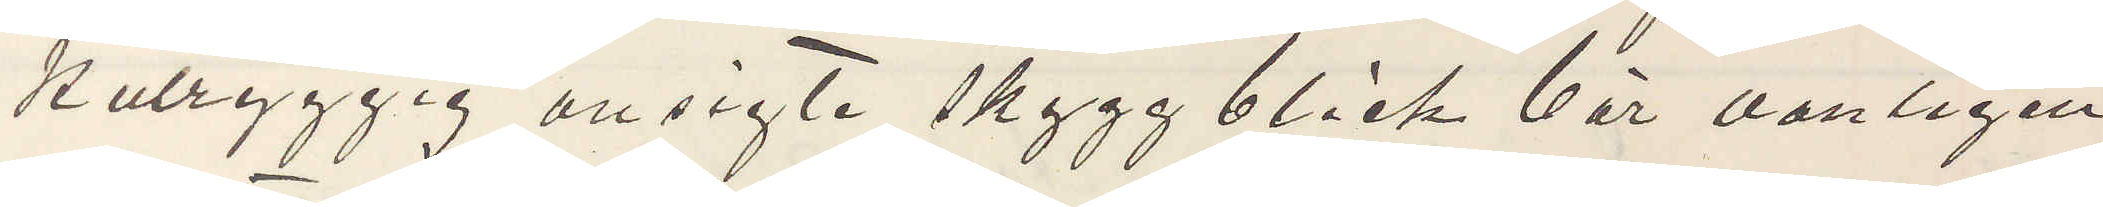kutryggig ansigte skygg blick bär vanligen
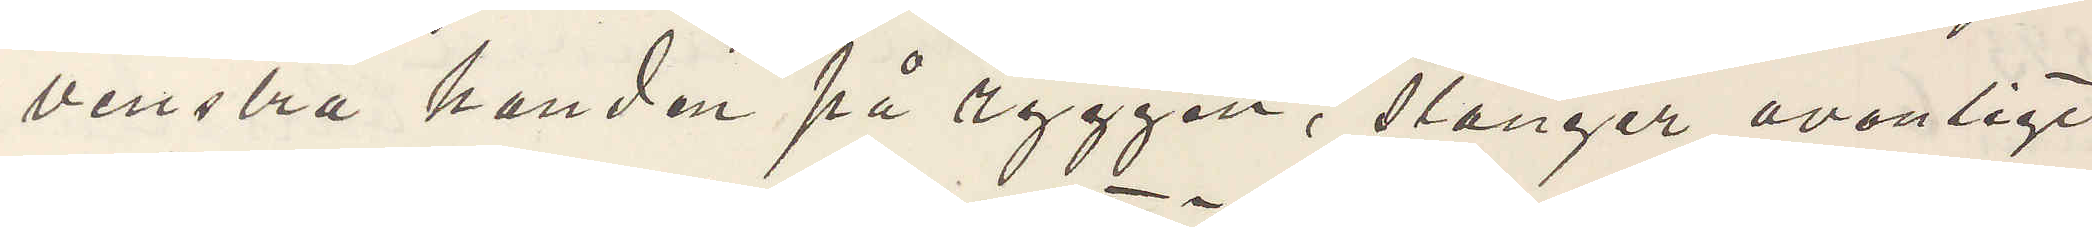venstra handen på ryggen, slänger ovanligt
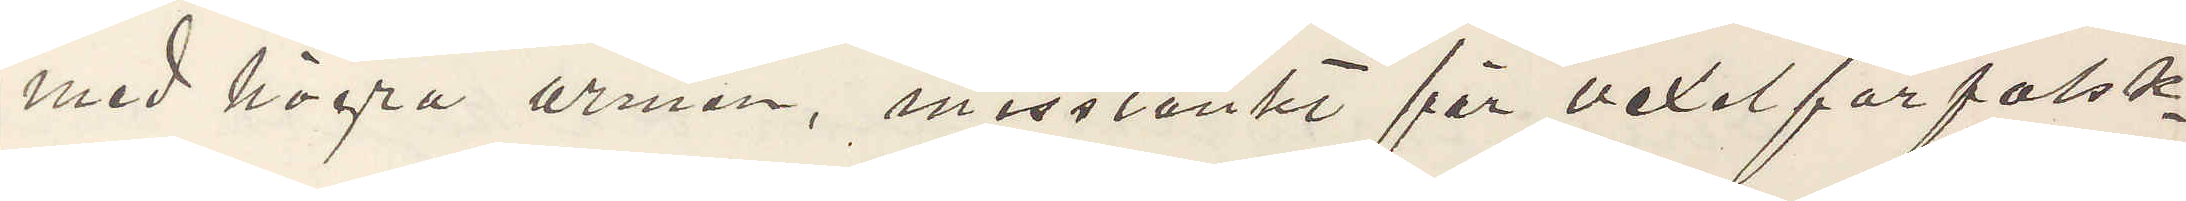med högra armen, misstänkt för vexelförfalsk¬
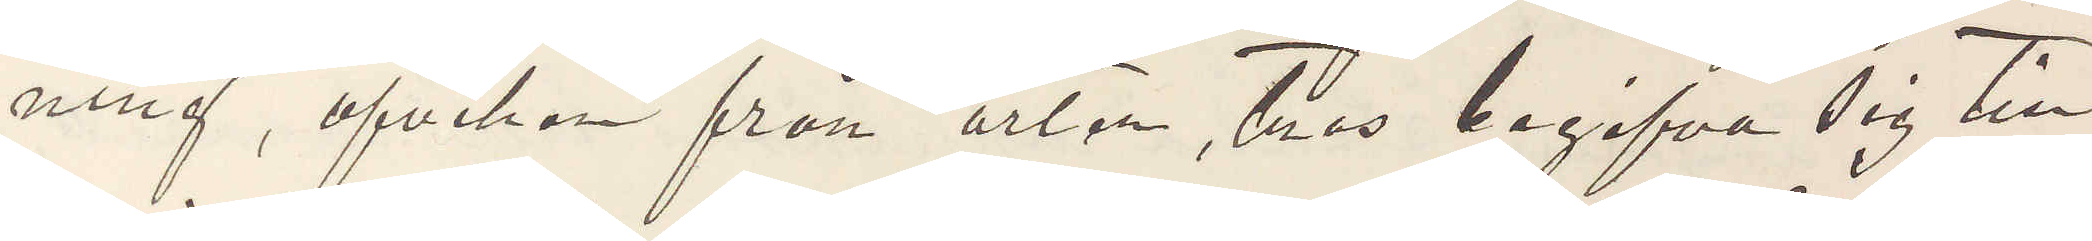ning, afviken från orten, tros begifva sig till
